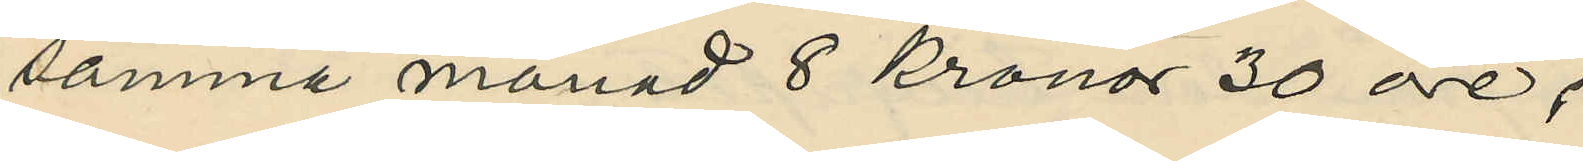samma månad 8 Kronor 30 öre;
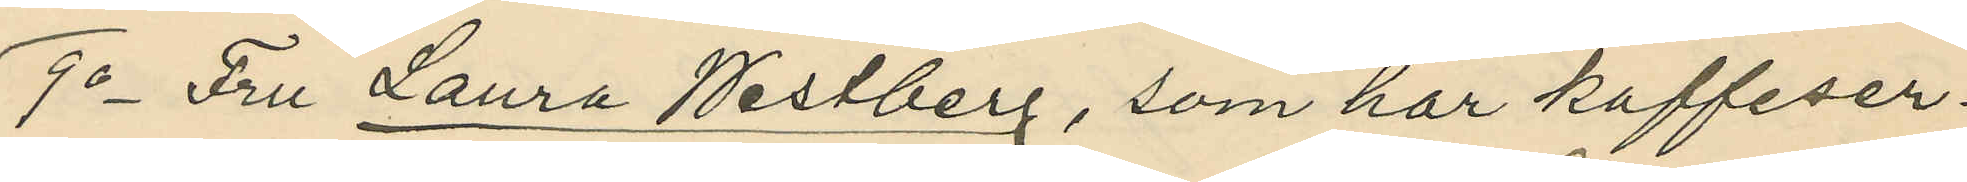9o Fru Laura Westberg, som har kaffeser¬
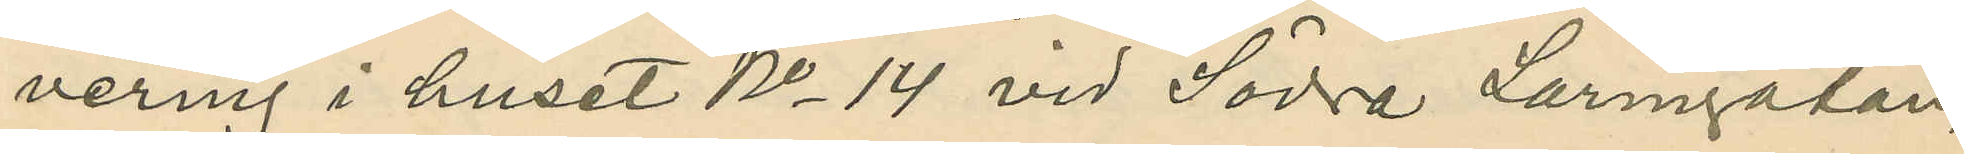vering i huset No 14 vid Södra Larmgatan,
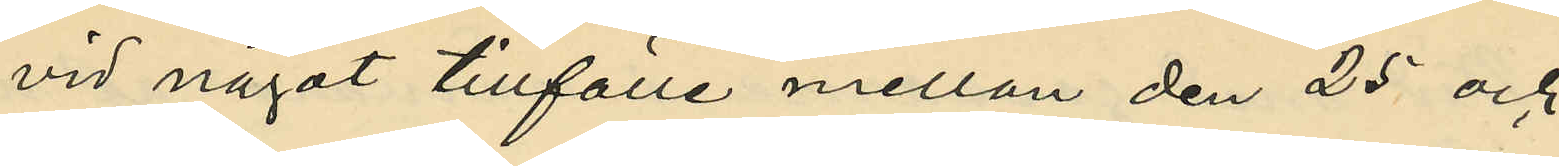vid något tillfälle mellan den 25 och
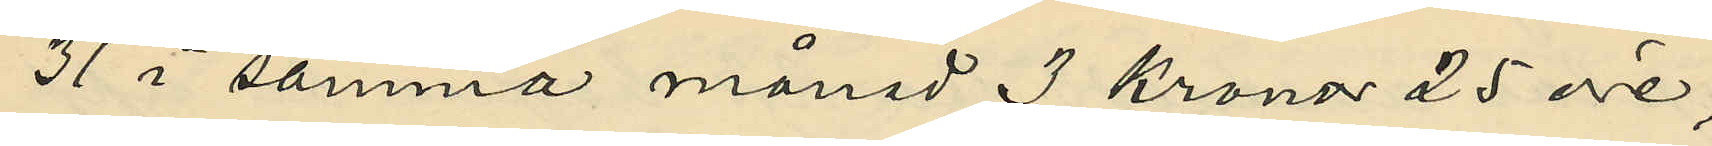31 i samma månad 3 Kronor 25 öre;
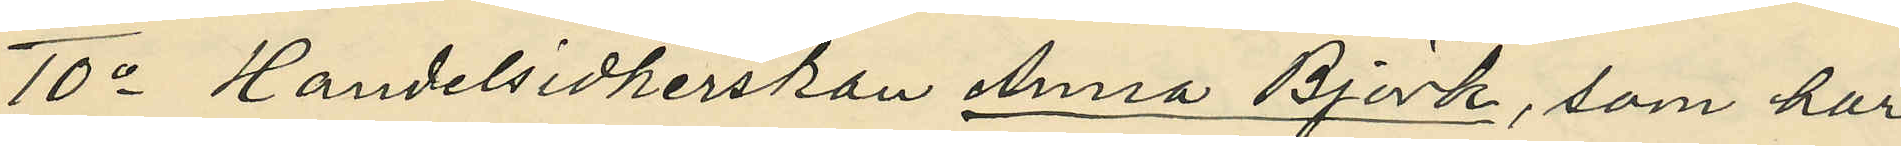10o Handelsidkerskan Anna Björk, som har
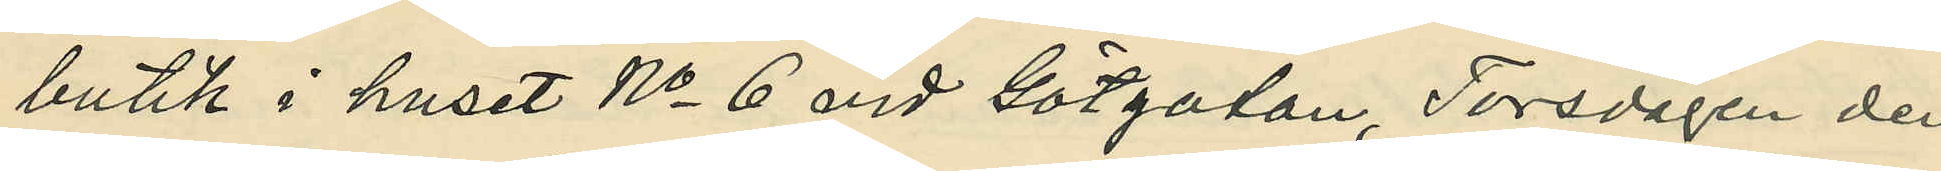butik i huset No 6 vid Götgatan, Torsdagen den
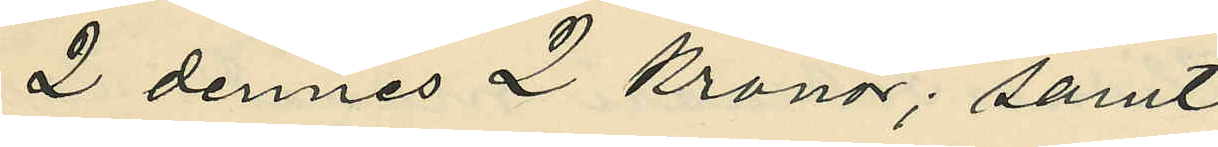2 dennes 2 kronor; samt
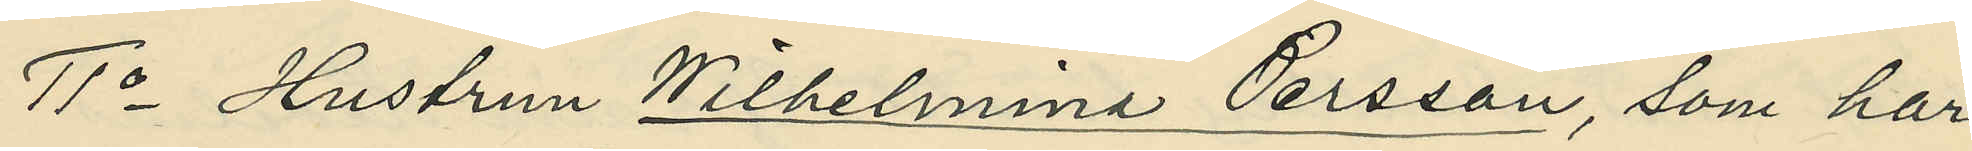11o Hustrun Wilhelmina Persson, som har
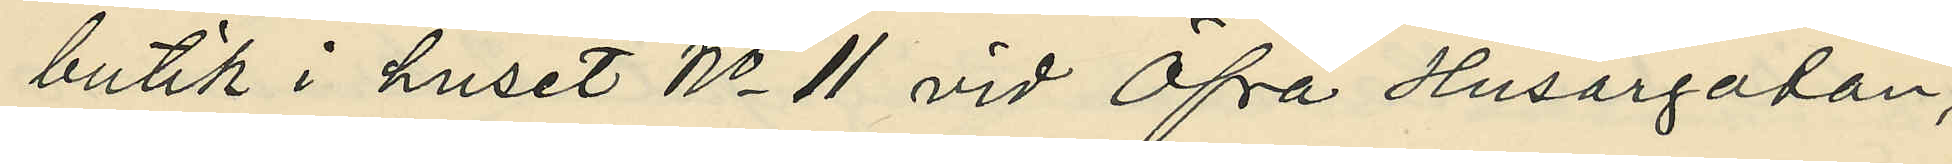butik i huset No 11 vid Öfra Husargatan,
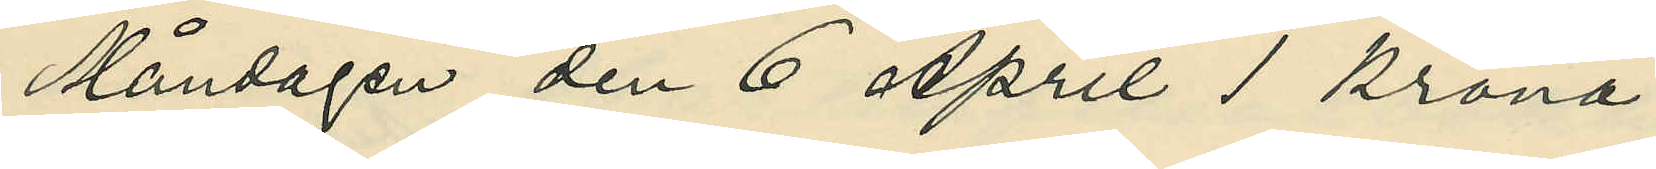Måndagen den 6 April 1 krona.
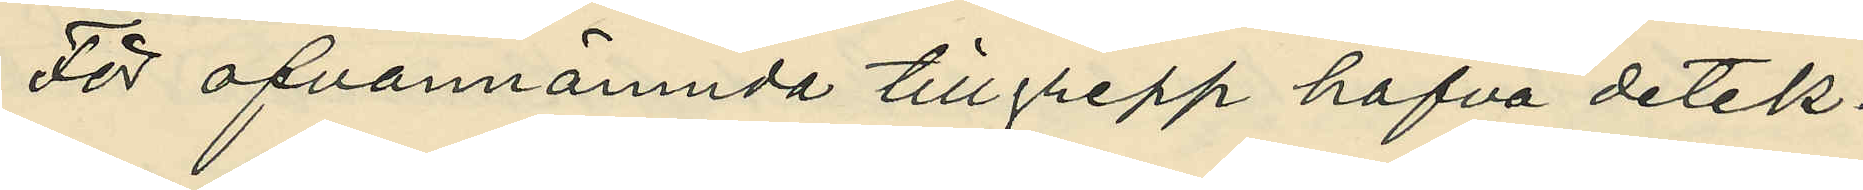För ofvannämnda tillgrepp hafva detek¬
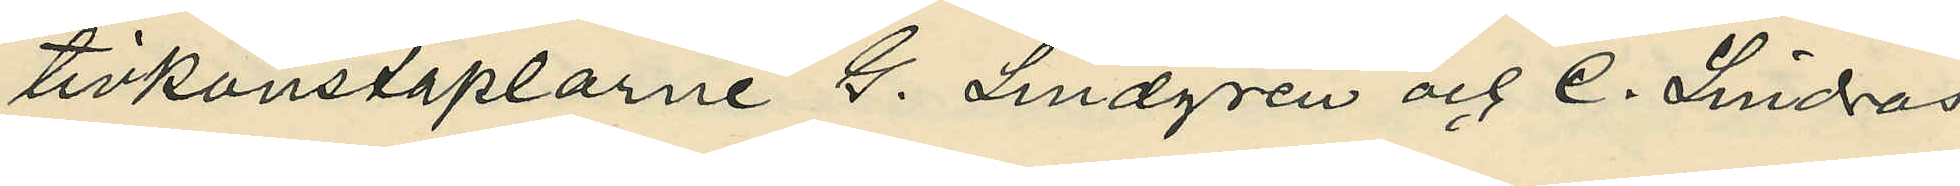tivkonstaplarne G. Lindgren och C. Lindros
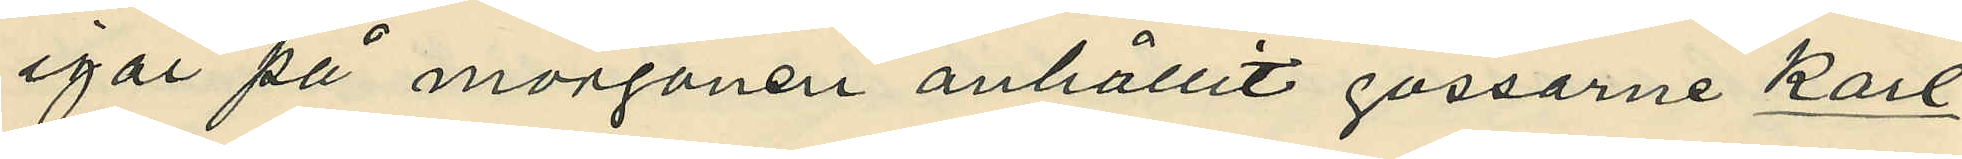igår på morgonen anhållit gossarne Karl
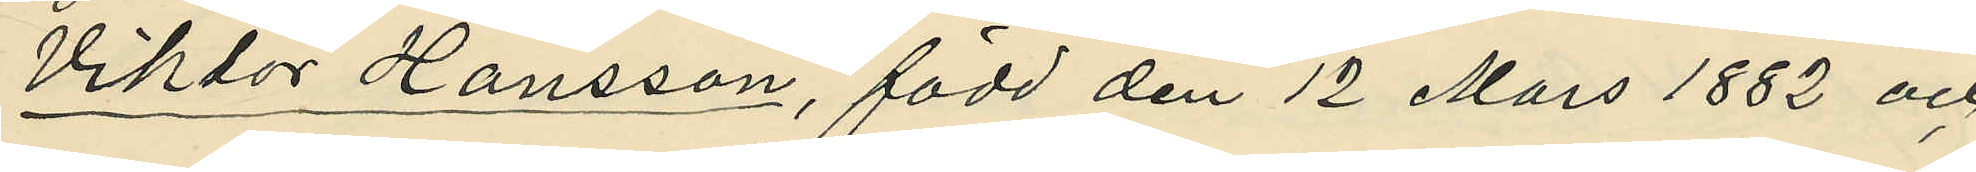Viktor Hansson, född den 12 Mars 1882 och
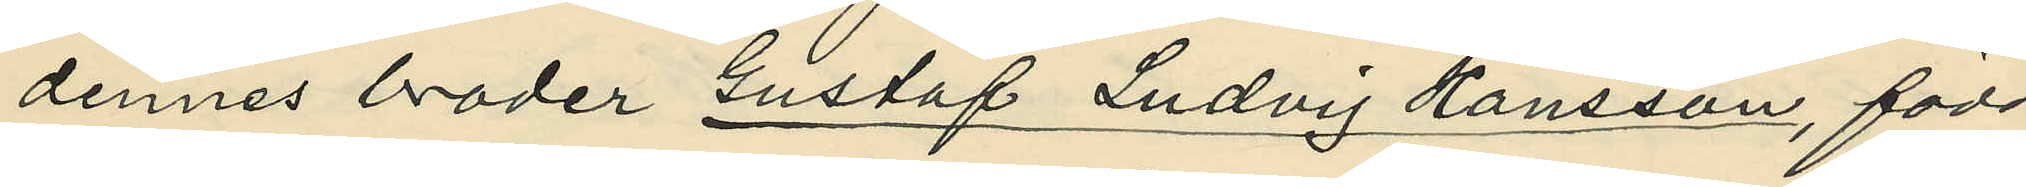dennes broder Gustaf Ludvig Hansson, född
